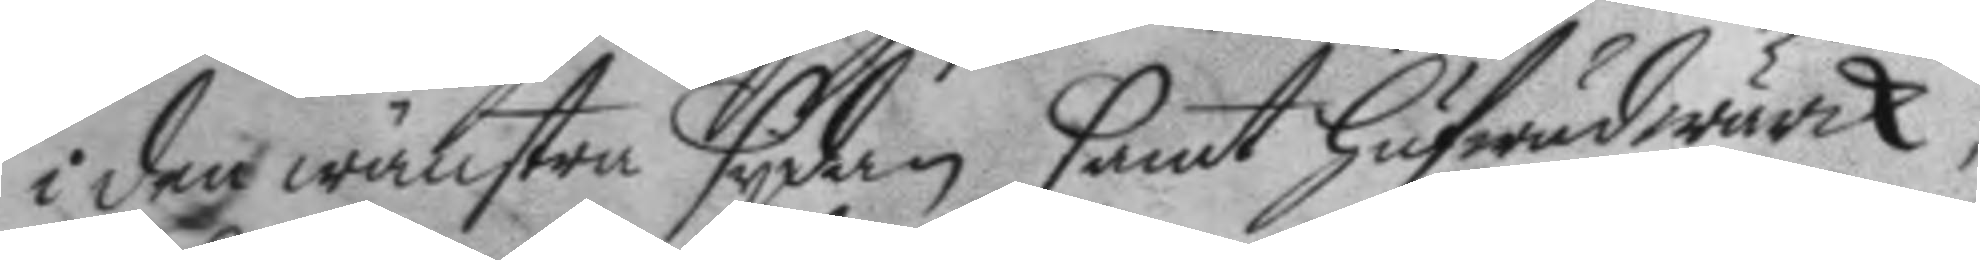i den wänstra sydan samt hufwudwärk;
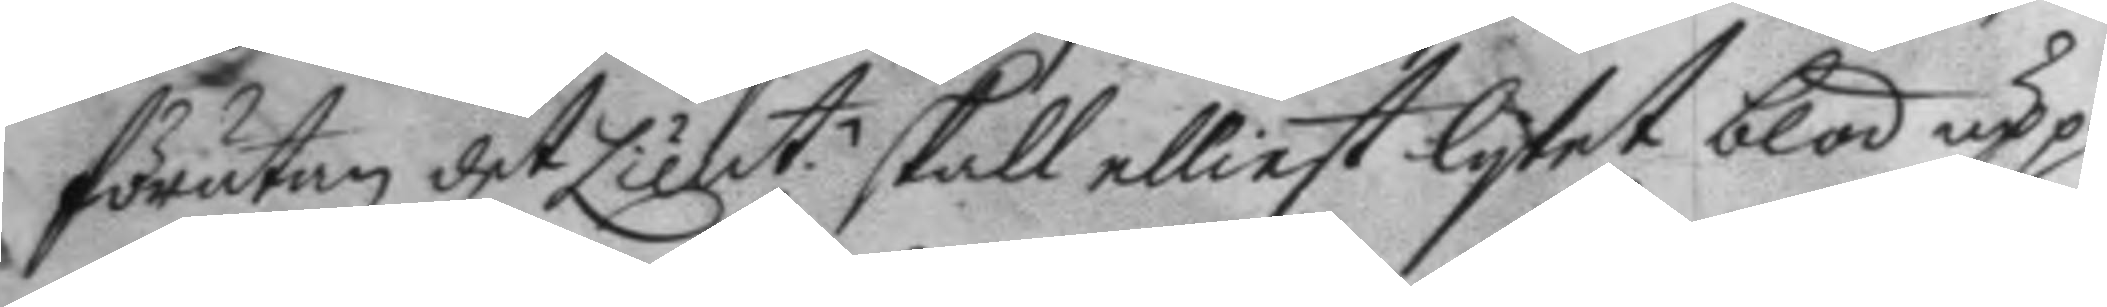förutan det Lieut.n skall elliest lytet blod upp¬
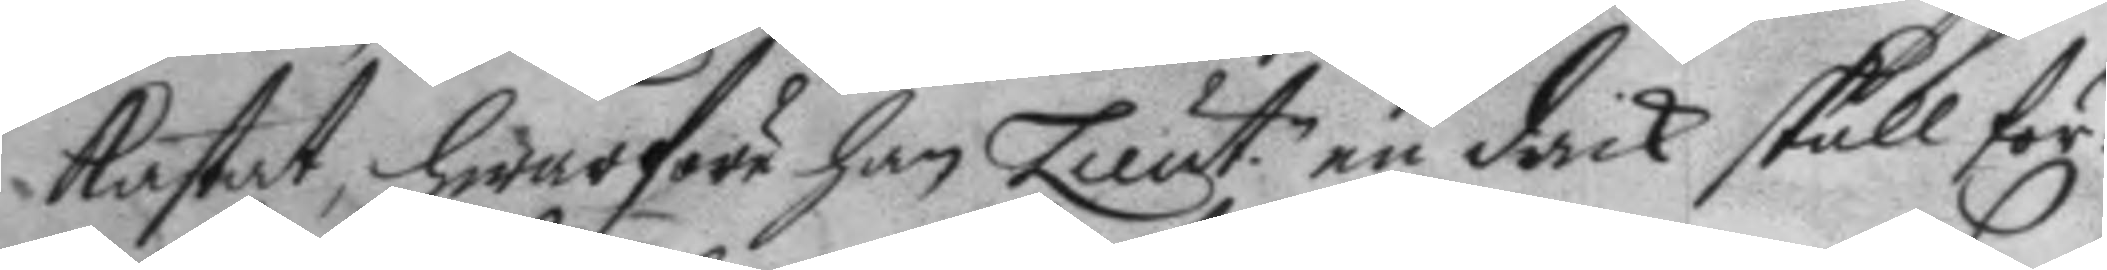kastat, hwarföre han Lieut.n en drick skall för¬
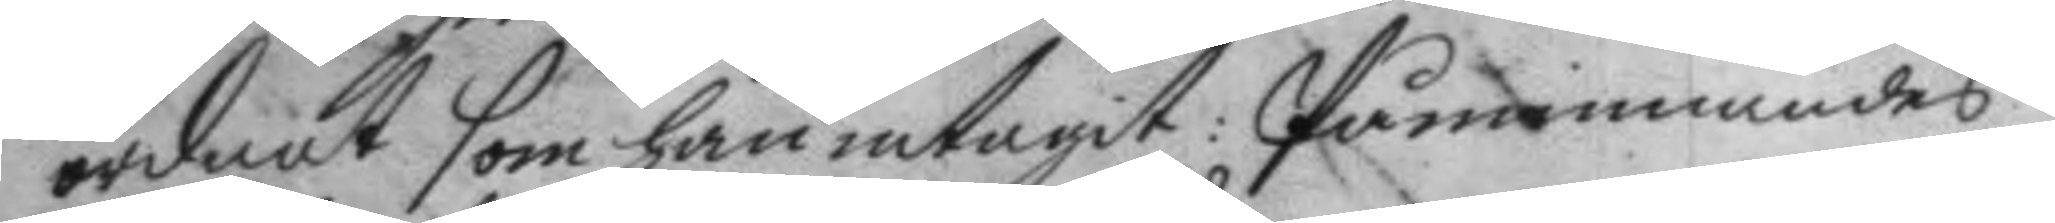ordnat som han intagit: Påminnandes
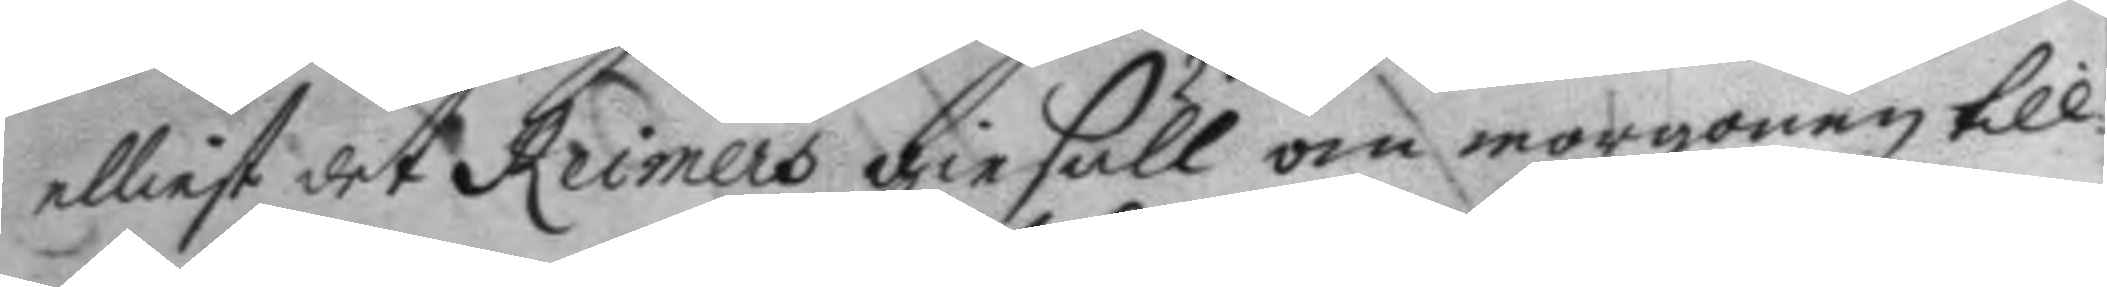elliest det Reimers geisäll om morgonen till
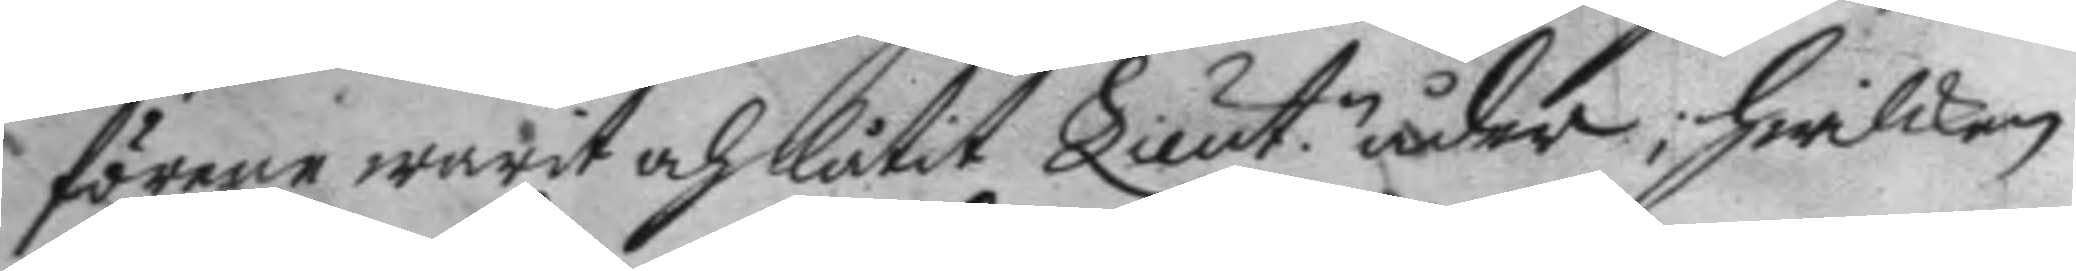förene warit och låtit Lieut.n åder, hwilken
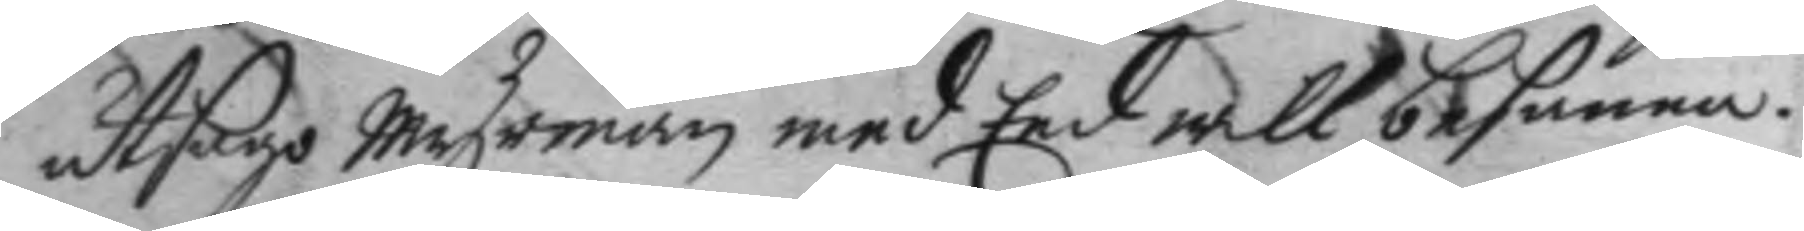utsago Myrman med Eed will besanna.
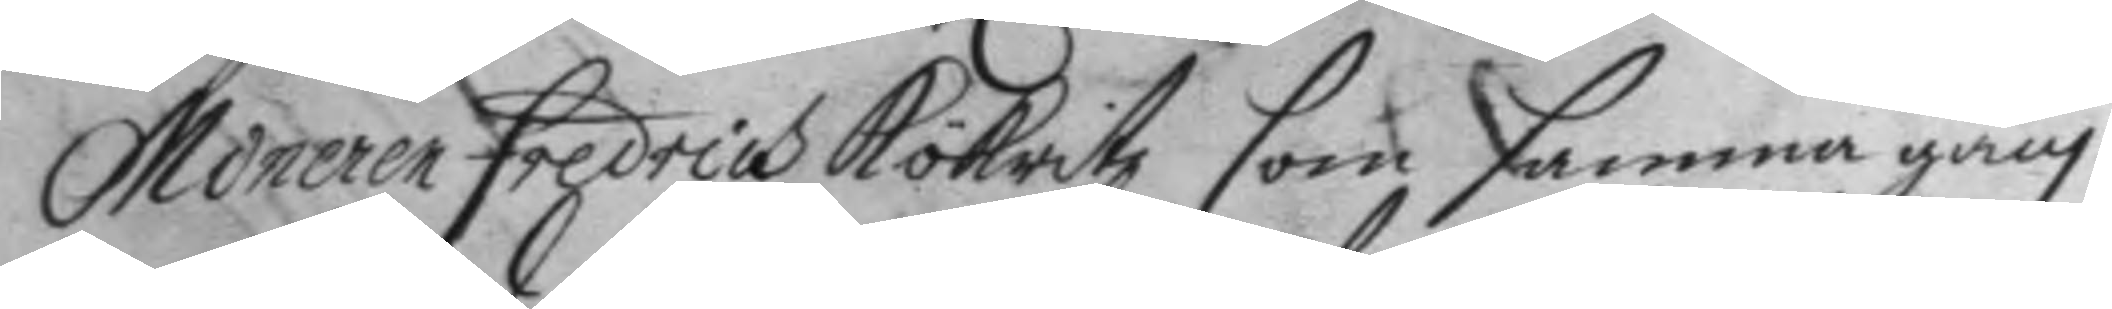Mineren Fredrich Kökritz som samma gång
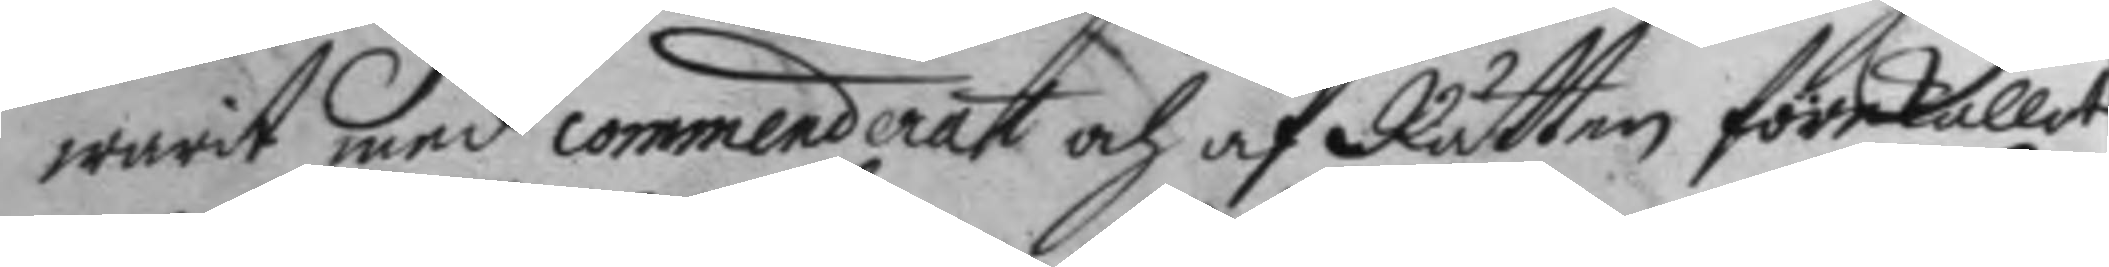warit med commenderat och af Rätten förekallat
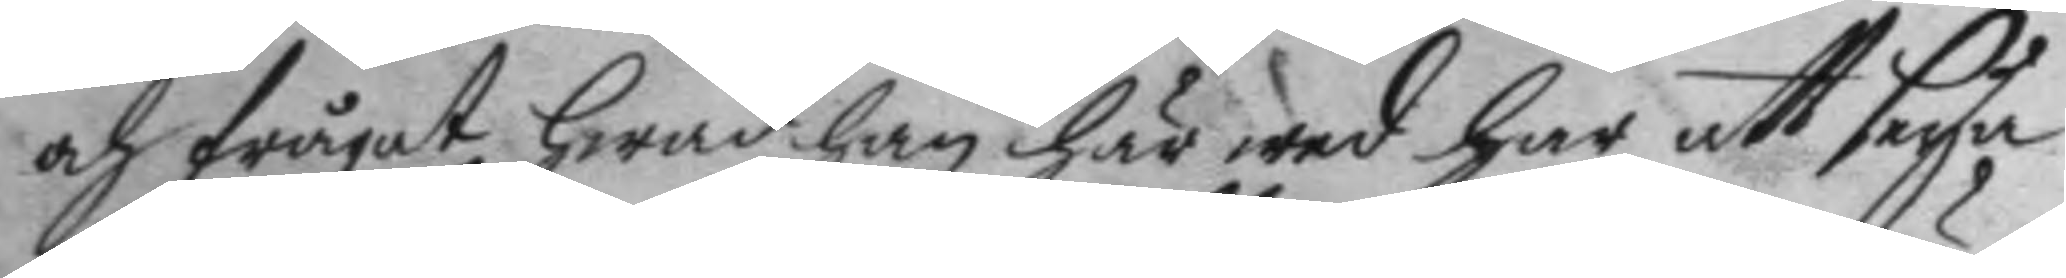och frågat hwad han här wed har att seya
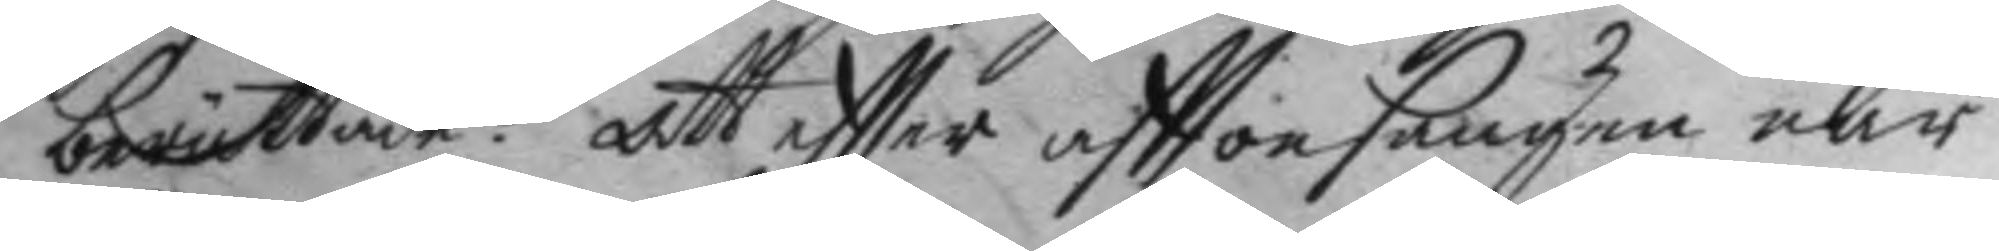berättade: att eftter afttonsången när
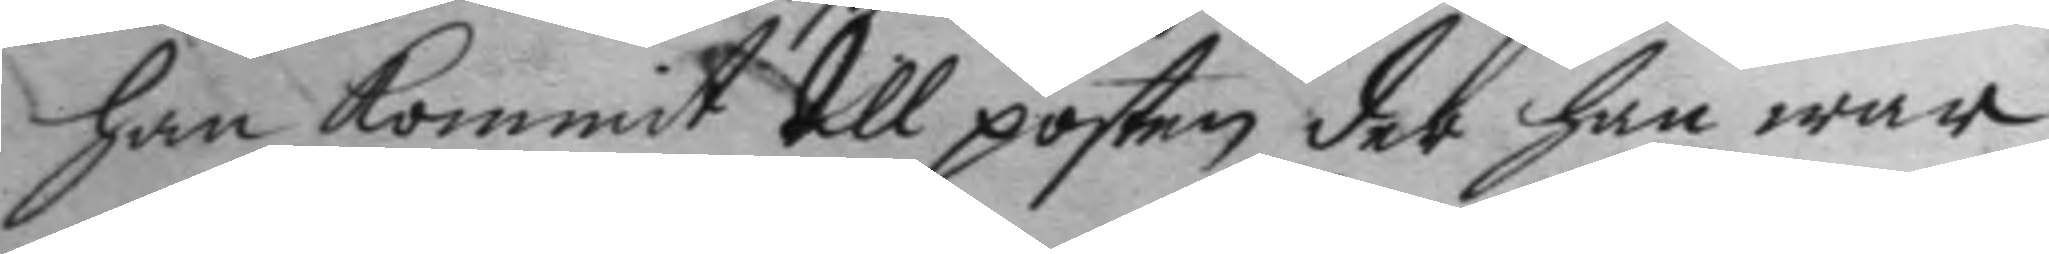han kommit till posten der han war
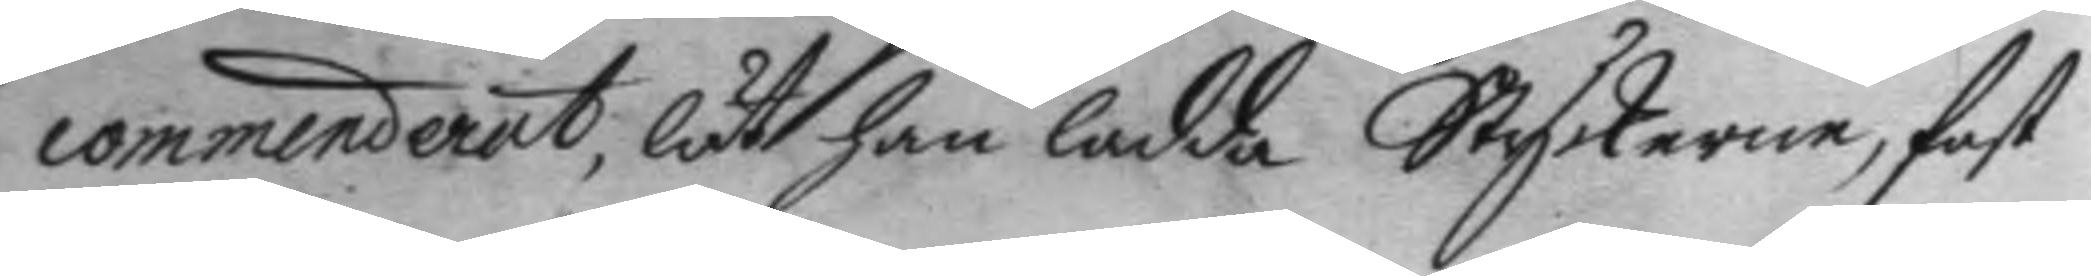commenderat, läth han ladda Styckerne, fast
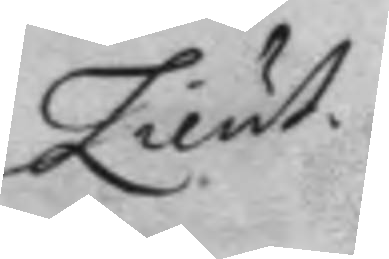Lieut.
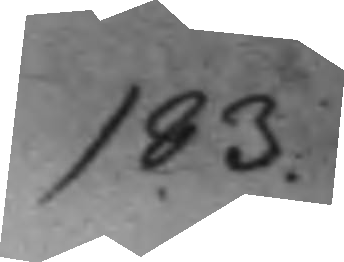193.
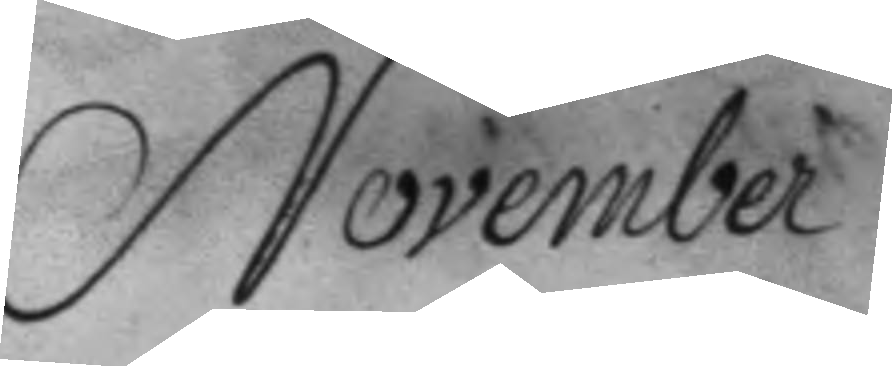November
